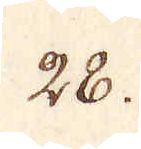28.
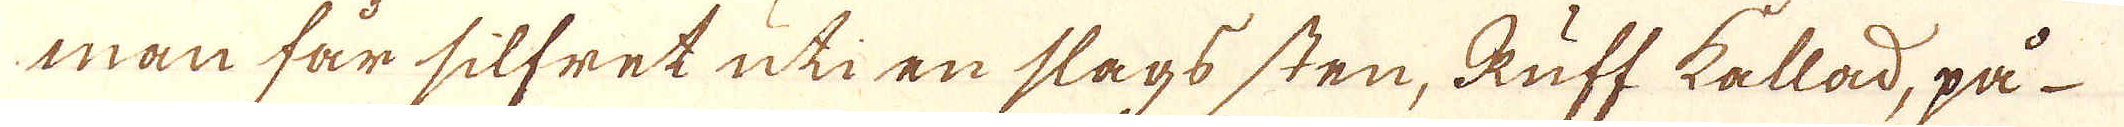man får silfret uti en slags sten, Ruff kallad, på
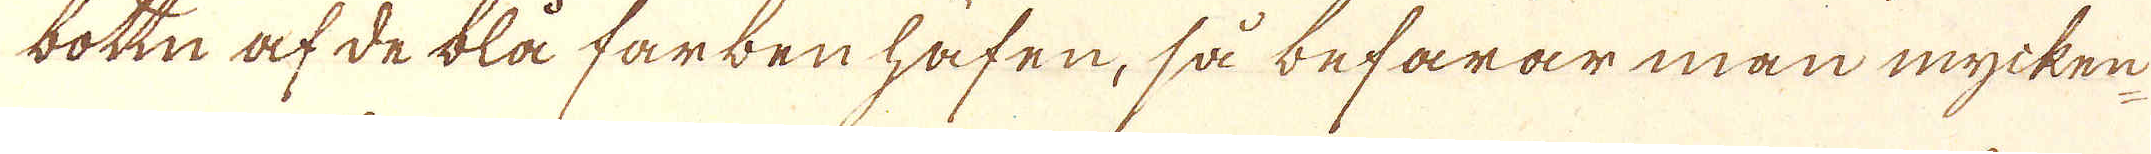bottn af de blå farben häfen, så befarar man mycken
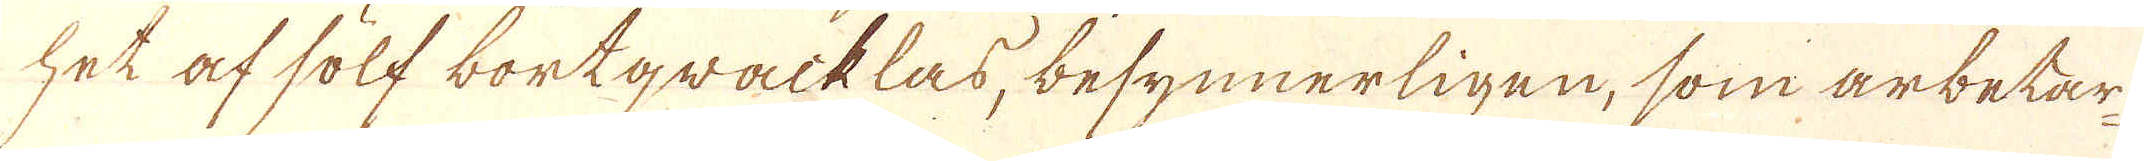het af sölf bortgracklas, besynnerligen, som arbetar-
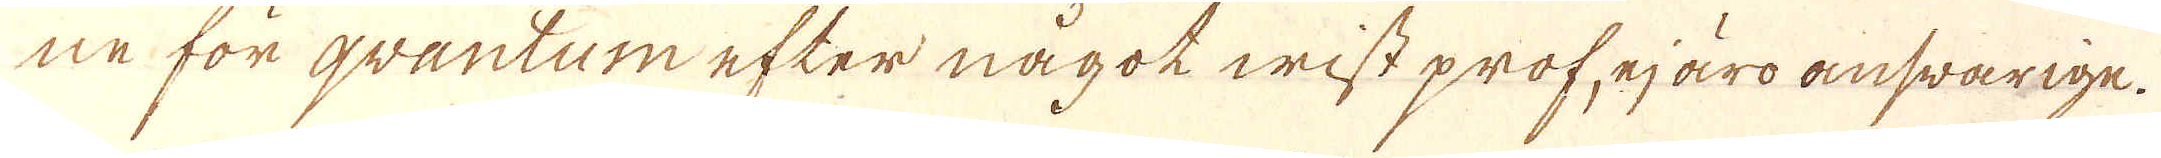ne för qvantum efter något wist prof, ejäro answarige.
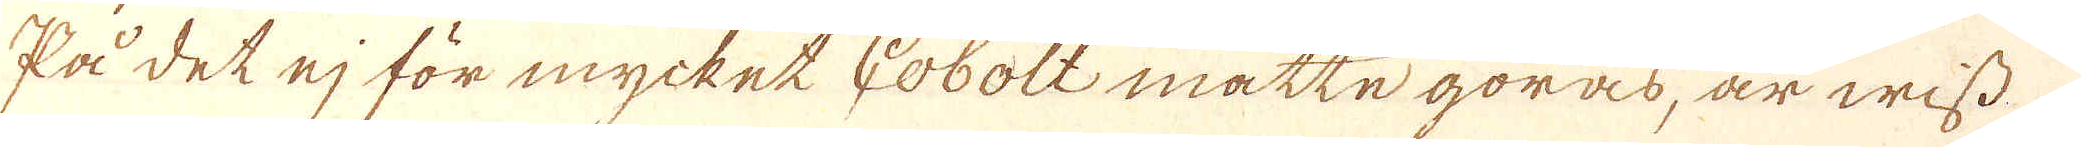På det ej för mycket Cobolt måtte göras, är wiss
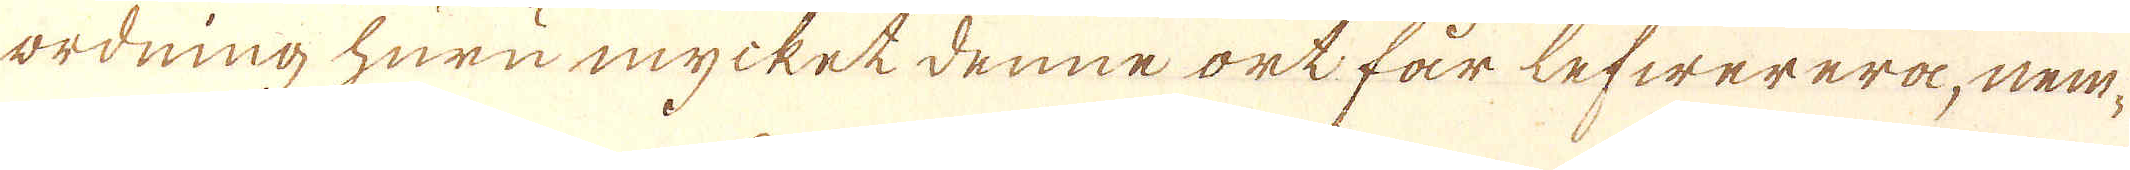ordning huru mycket denne ort får lefwerera, nem-
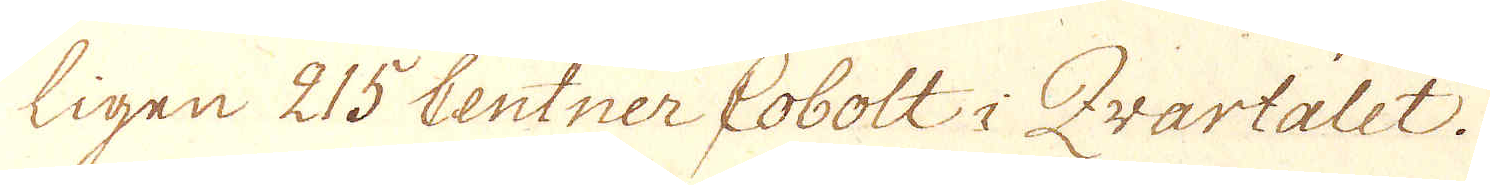ligen 215 Centner Cobolt i Kvartalet.
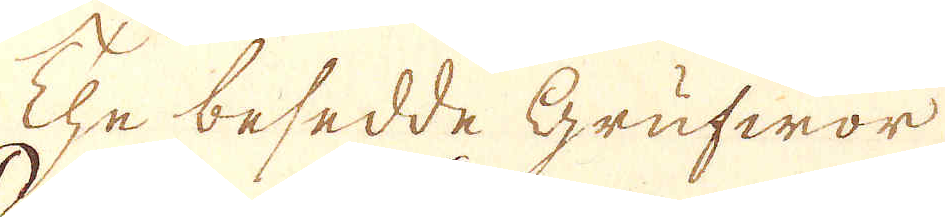The besedde Grufwor
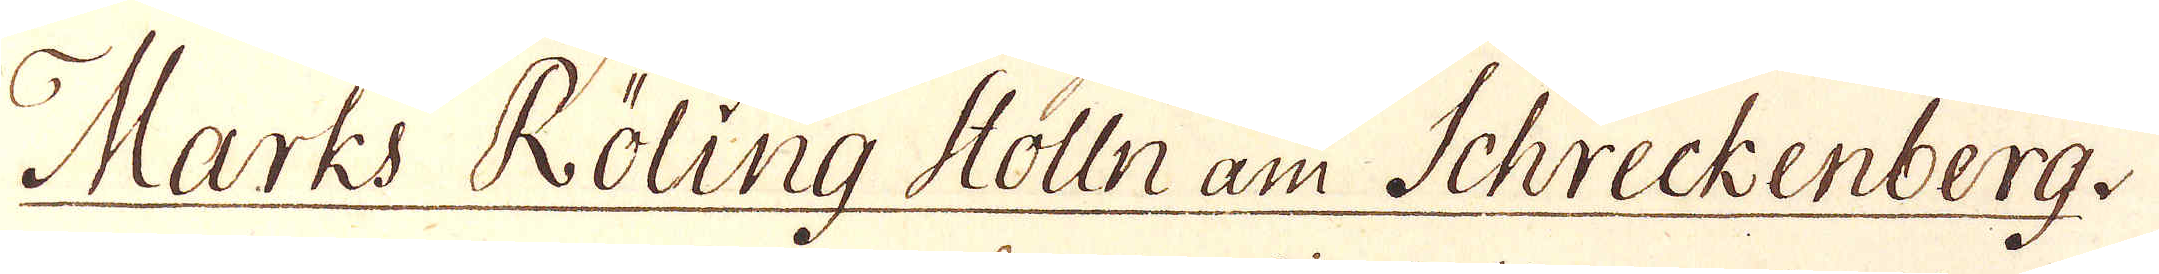Marks Roling Stolln am Schreckenberg.
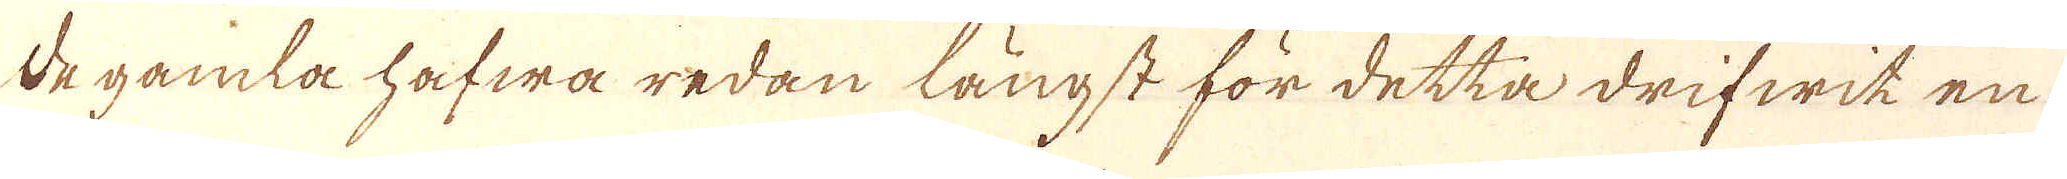de gamla hafwa redan längst för detta drifwit en
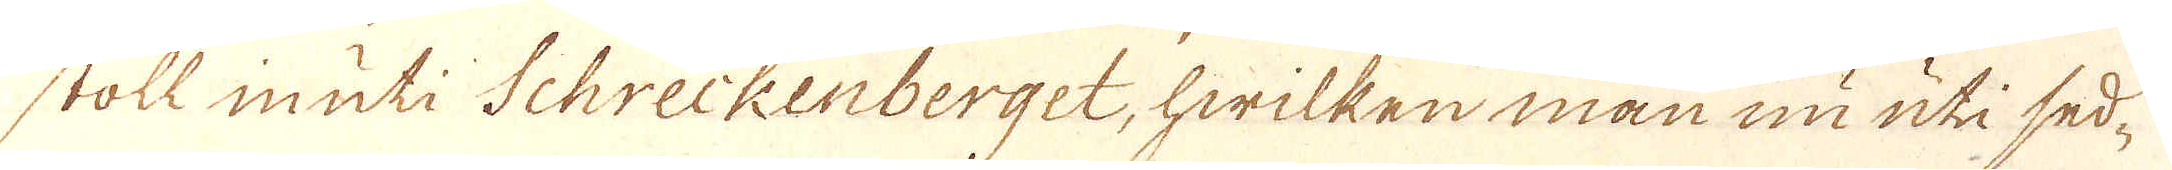stoll in uti Schreckenberget, hwilken man nu uti sed-
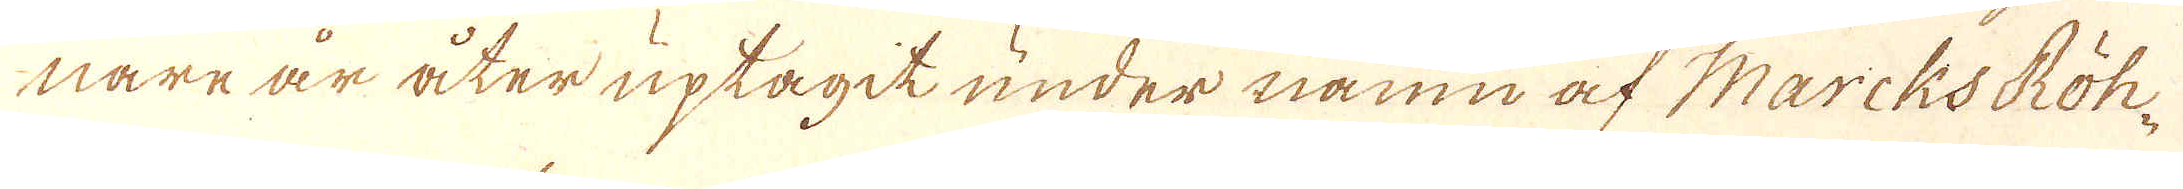nare är åter uptagit under namn af Marcks Röh-
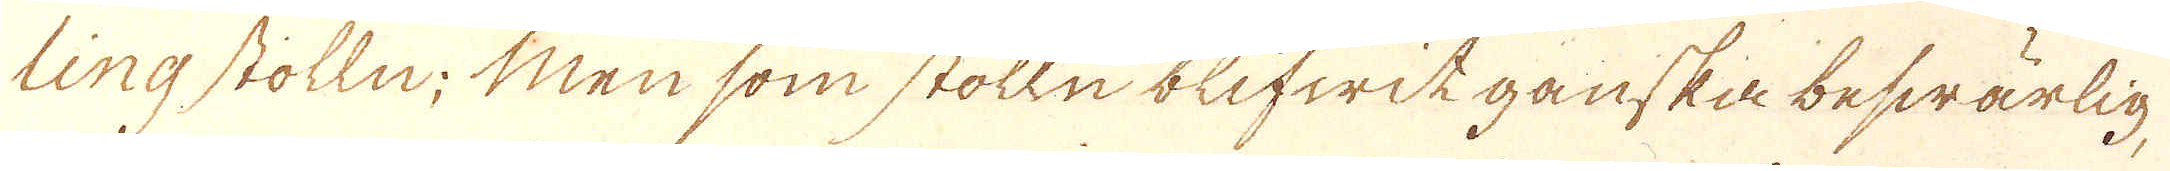ling stolln; Men som stolln blifwit ganska beswärlig-
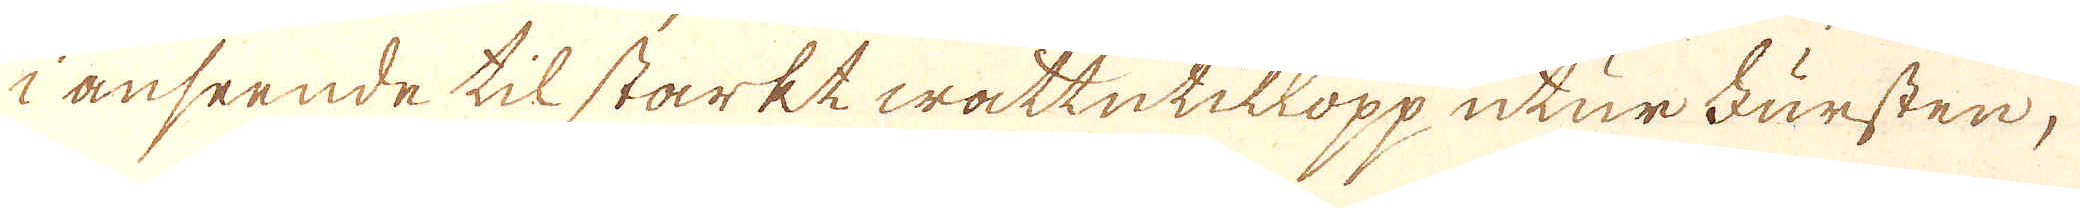i anseende til starkt wattntillopp utur Fursten,
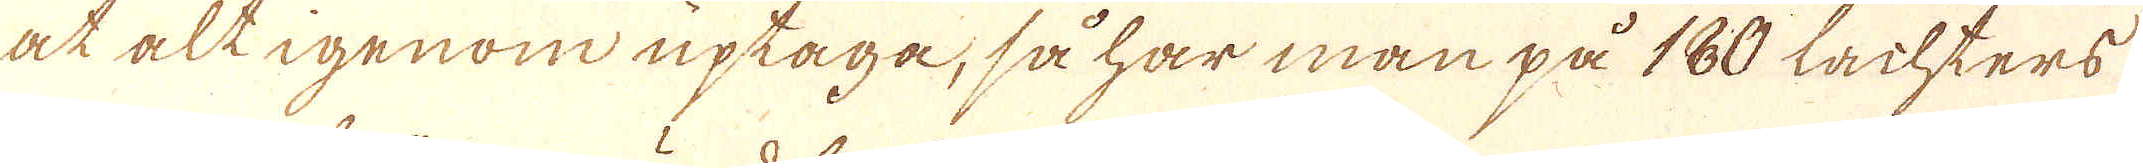at alt igenom uptaga, så har man på 180 Lachters
